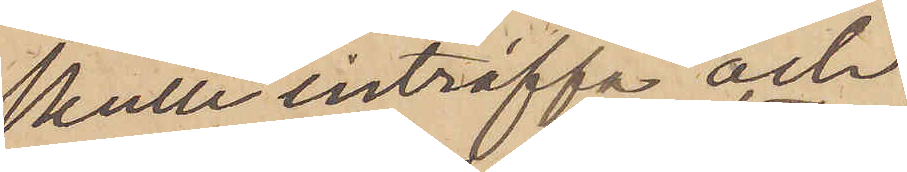skulle inträffa och
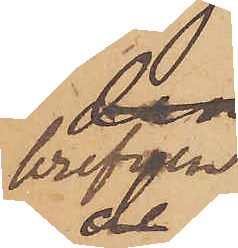brefven
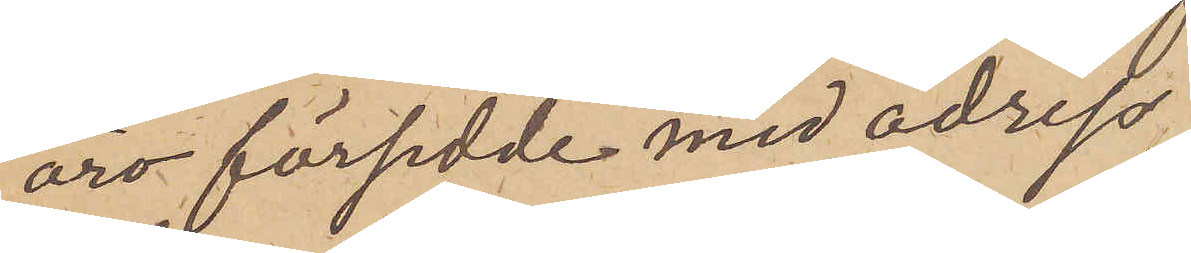äro försedde med adress
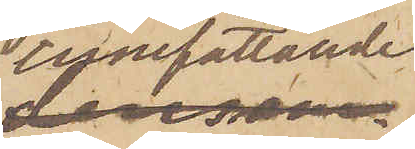omfattande
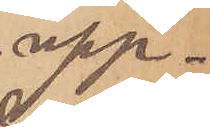upp¬
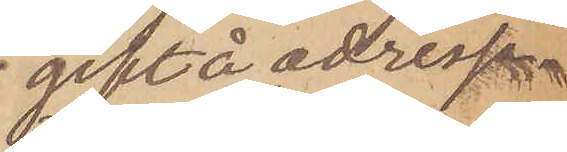gift å adress¬
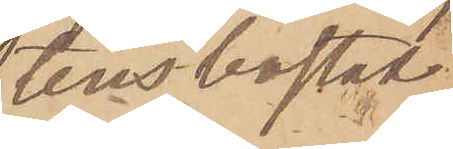atens bostad
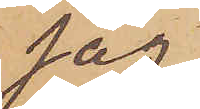jag
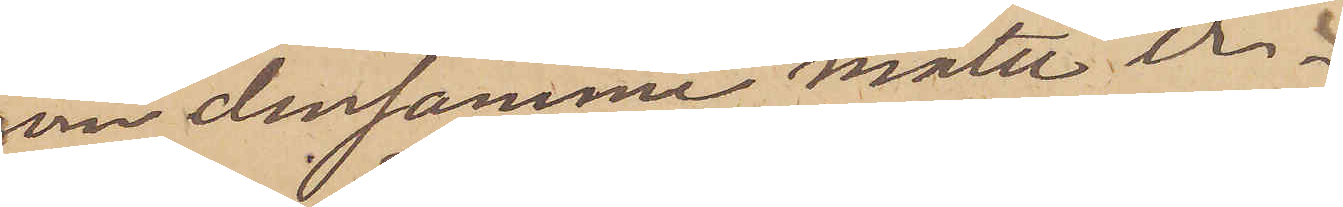om densamma måtte er¬
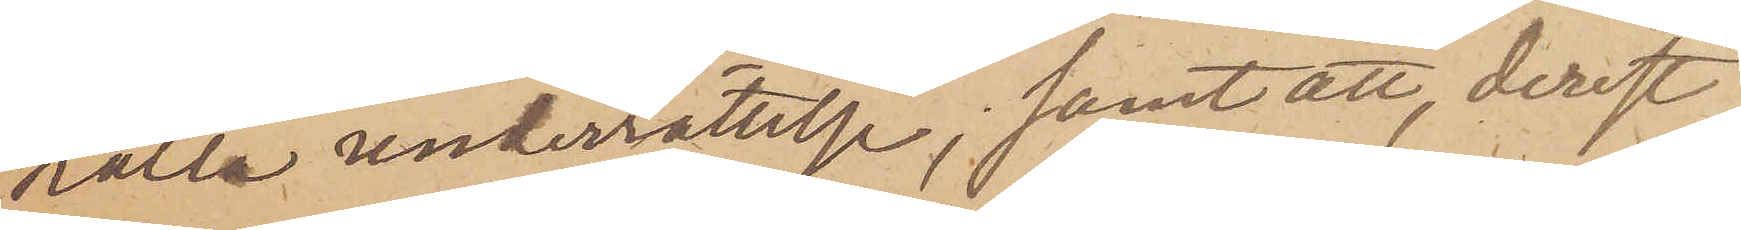hålla underrättelse; samt att, derest
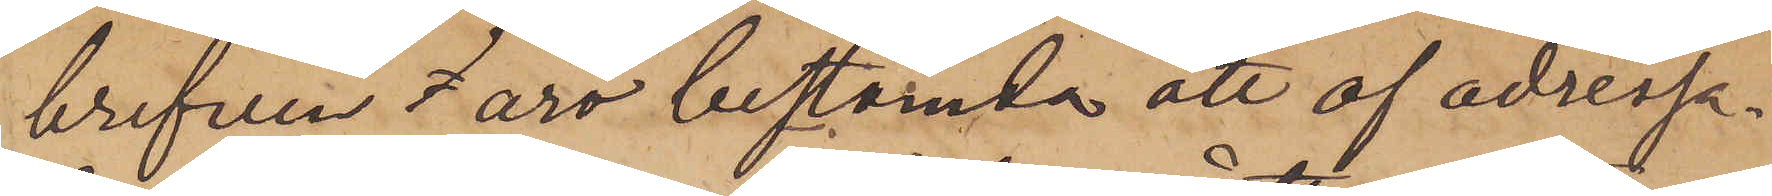brefven äro bestämda att af adressa¬
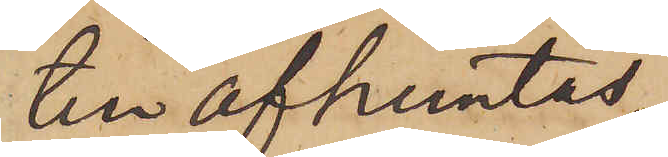ten afhemtas,
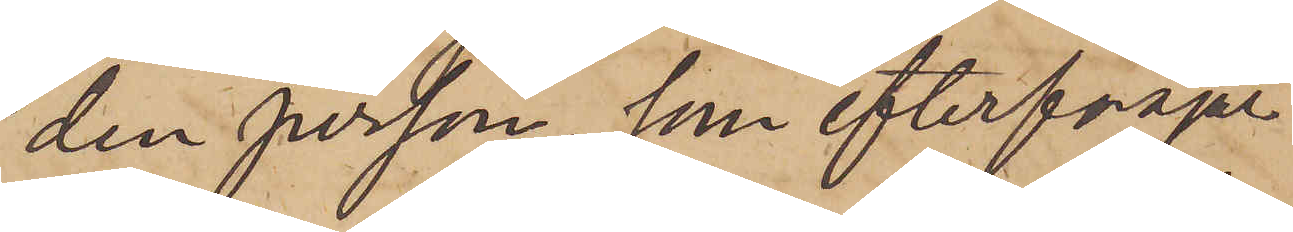den person, som efterfrågar
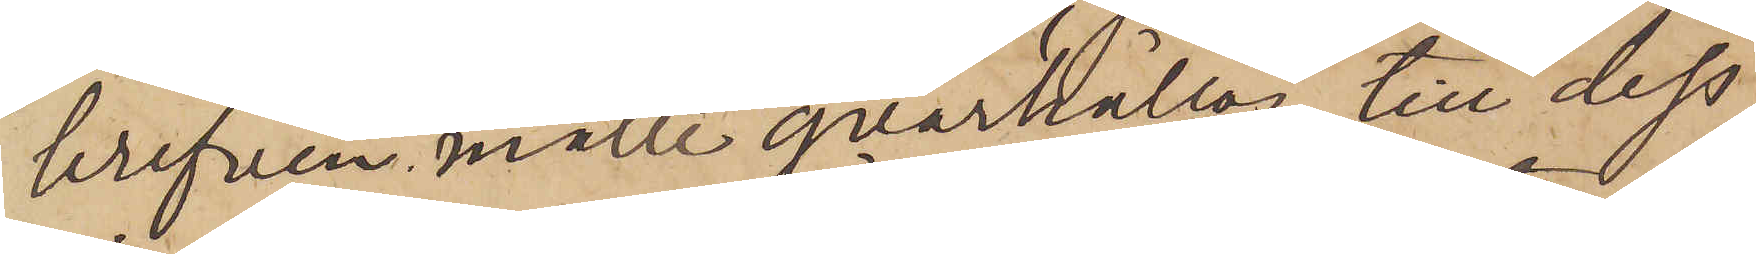brefven, måtte qvarhållas, till dess
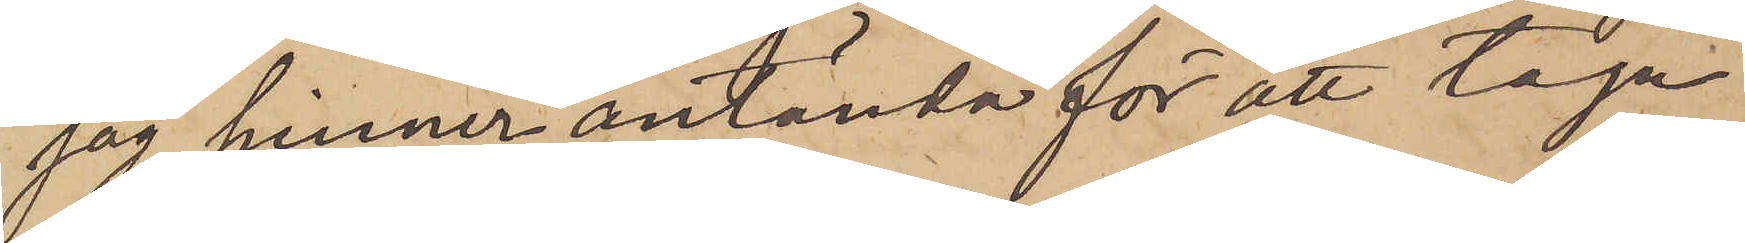jag hinner anlända för att taga
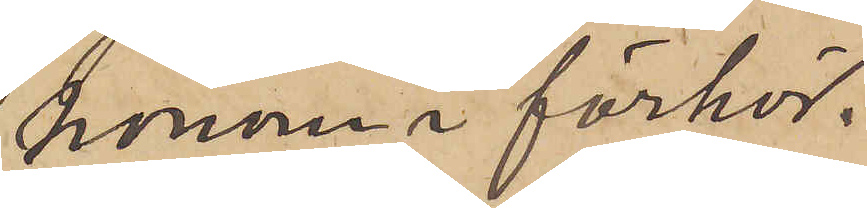honom i förhör.
